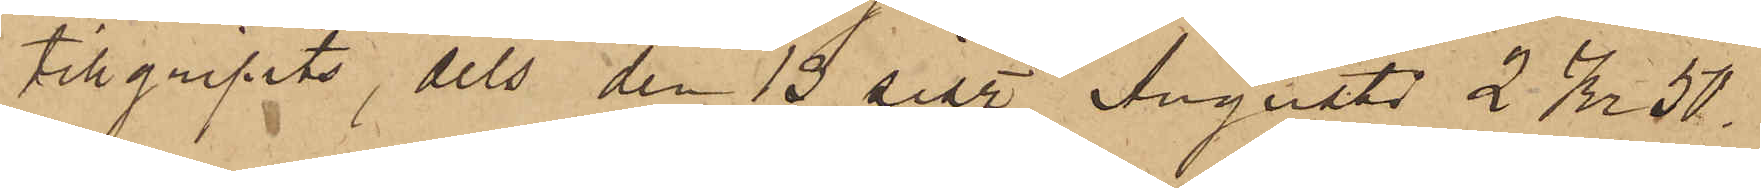tillgripits, dels den 15 sist. Augusti 2 Kr 50
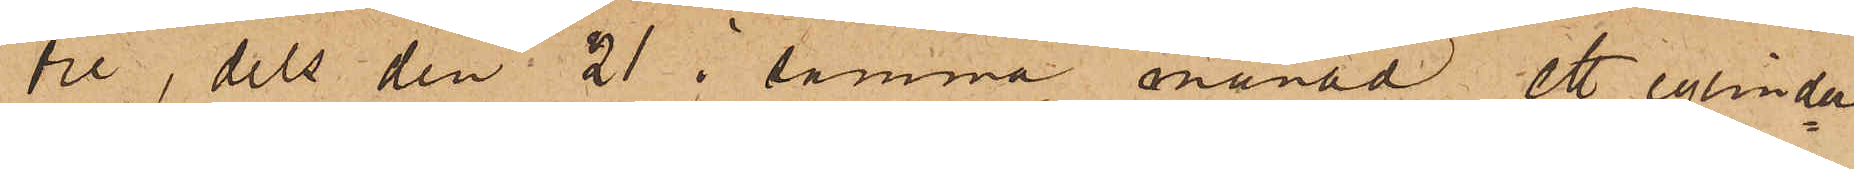öre, dels den 21 i samma månad ett cylinder¬
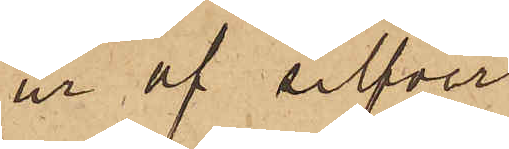ur af silfver
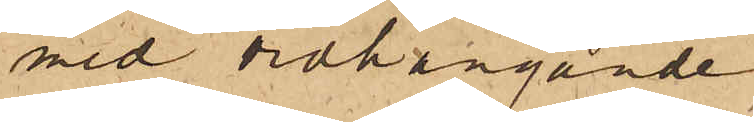med vidhängande
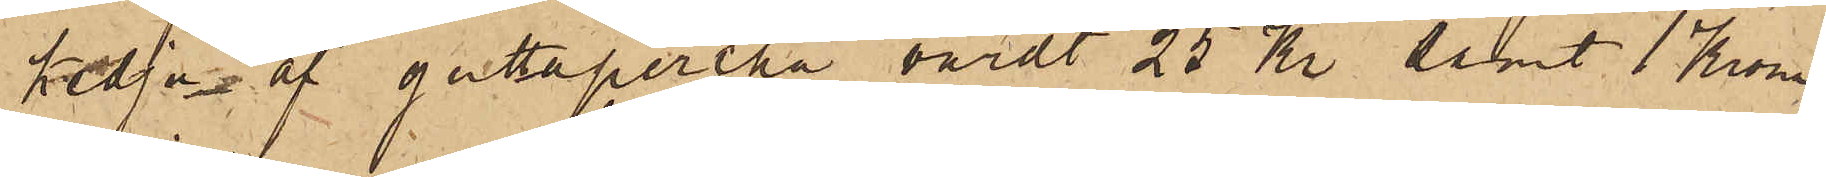kedja af guttapercha, värdt 25 Kr samt 1 Krona
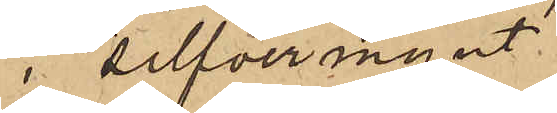i silfvermynt,
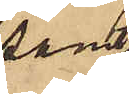samt
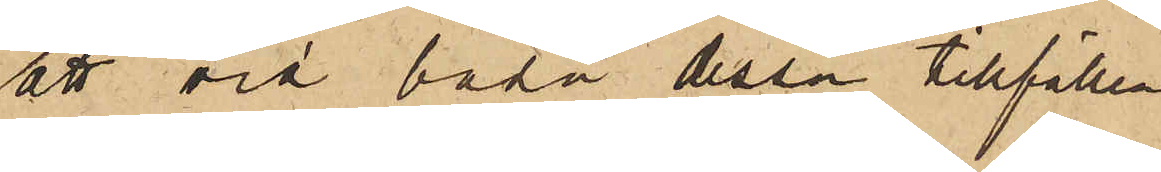att vid båda dessa tillfällen
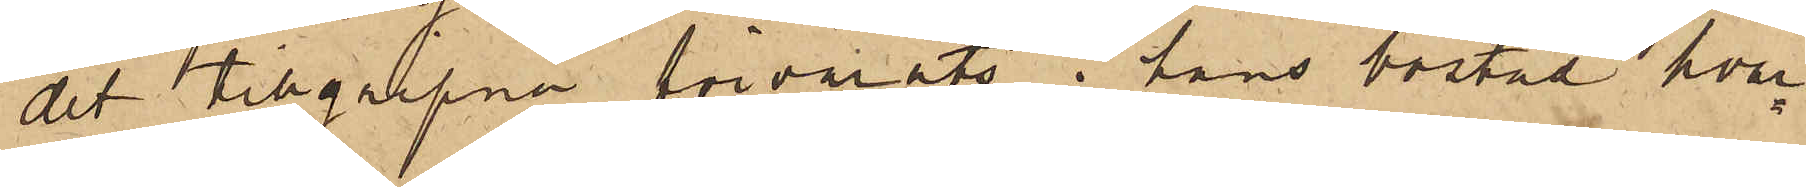det tillgripna förvarats i hans bostad, hvar¬
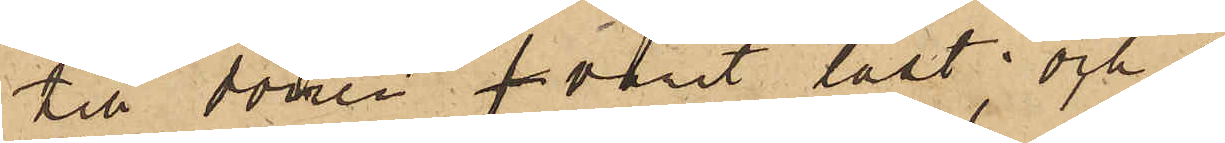till dörren f varit låst; och 
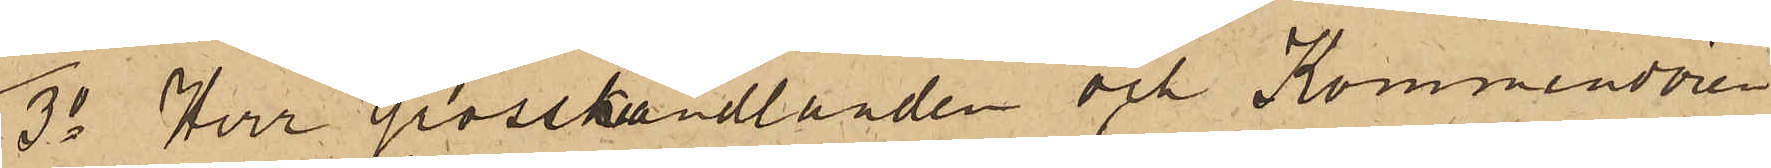3o Herr Grosshandlanden och Kommendören
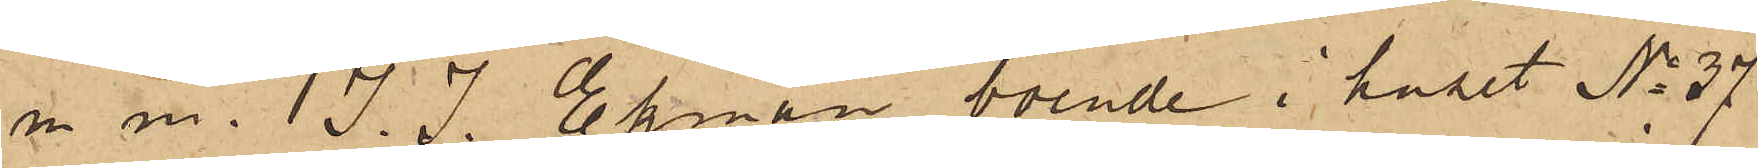m m. J. J. Ekman, boende i huset No 37
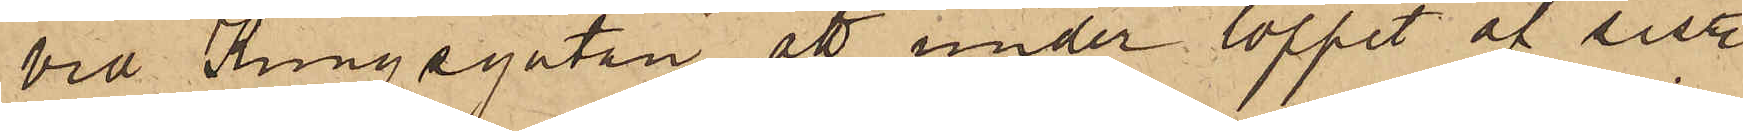vid Kungsgatan, att under loppet af sistl.
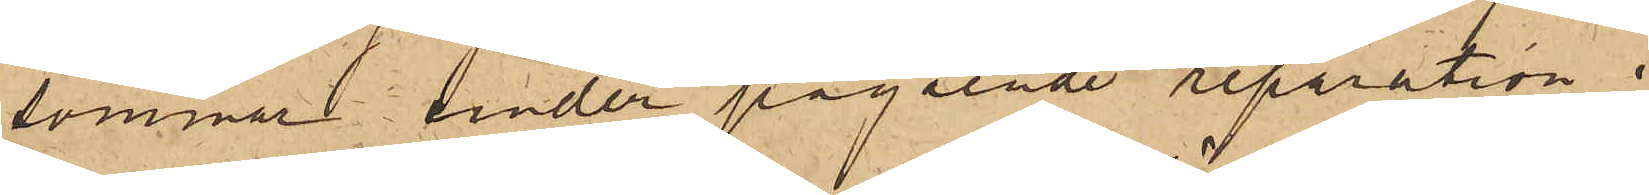sommar under pågående reparation i
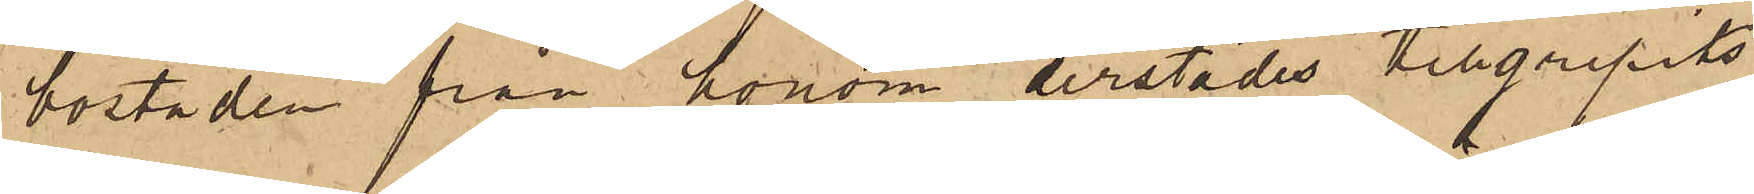bostaden från honom derstädes tillgripits
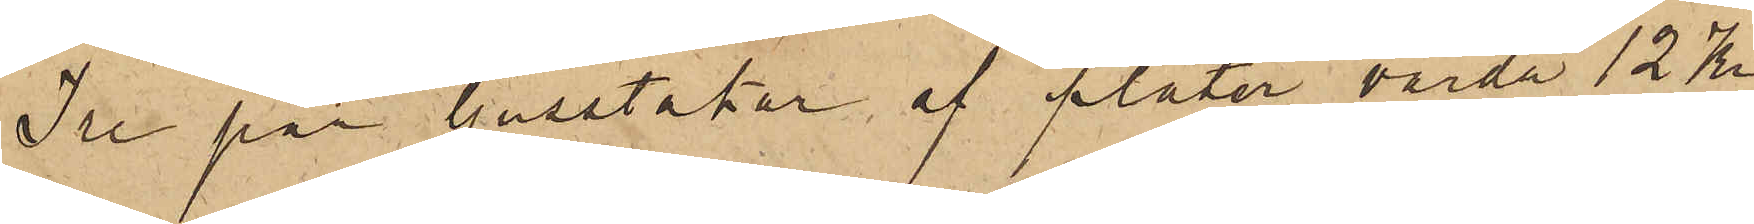Tre par ljusstakar af pläter, värda 12 Kr
